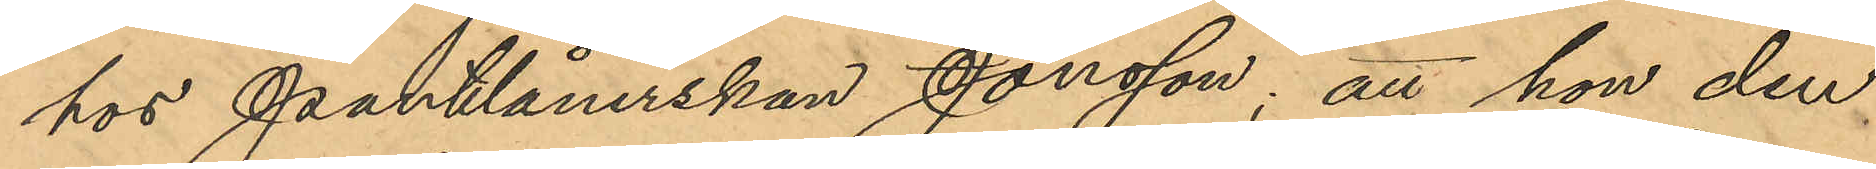hos Pantlånerskan Jonsson; att hon den
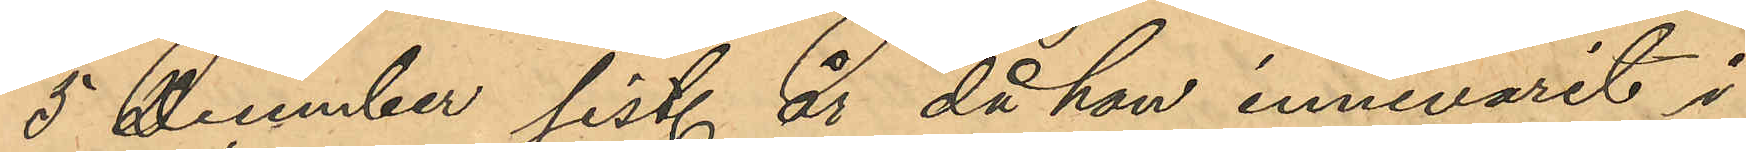5 December sist. år, då hon innevarit i
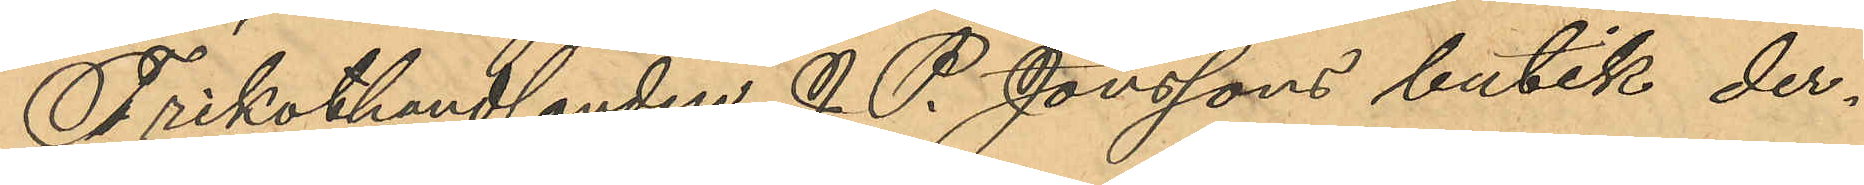Trikothandlanden J. P. Jonssons butik der¬
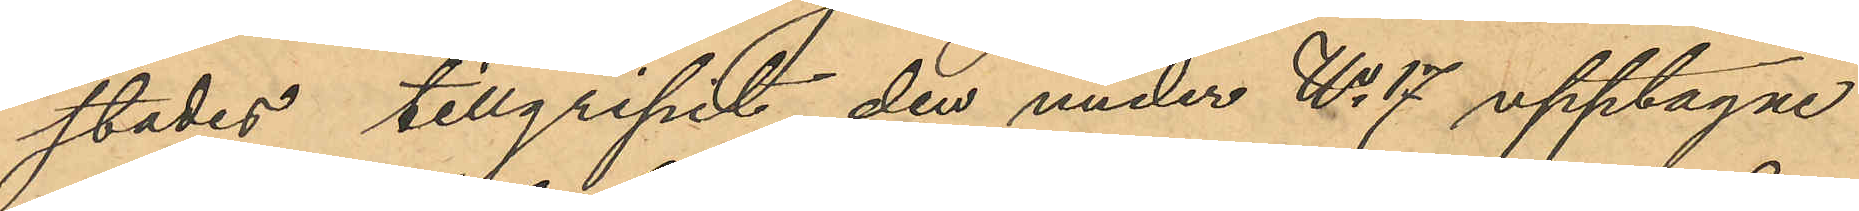städes, tillgripit den under No 17 upptagne
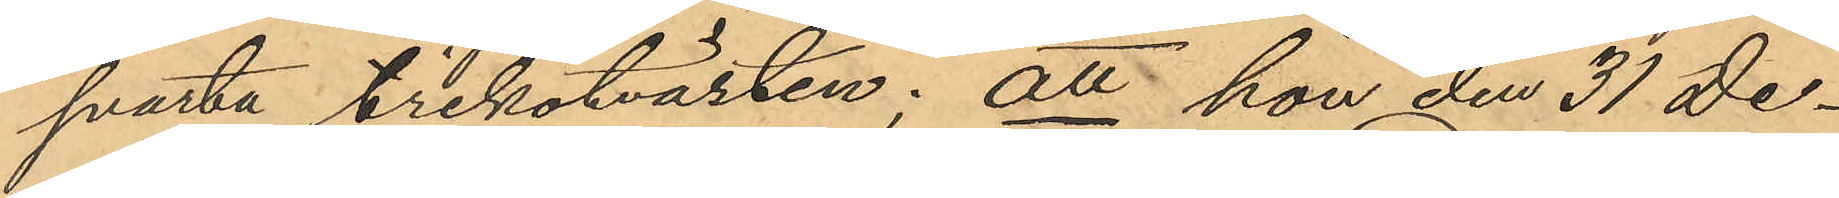svarta trikotvästen; att hon den 31 De¬
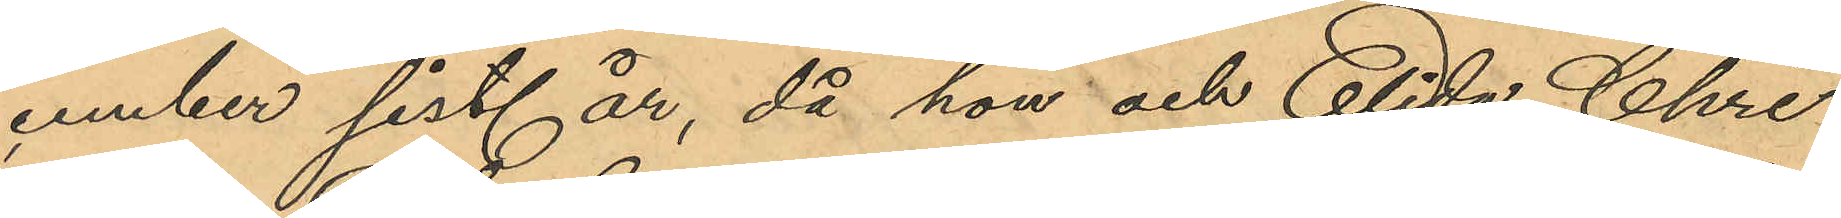cember sist. år, då hon och Elida Chri¬
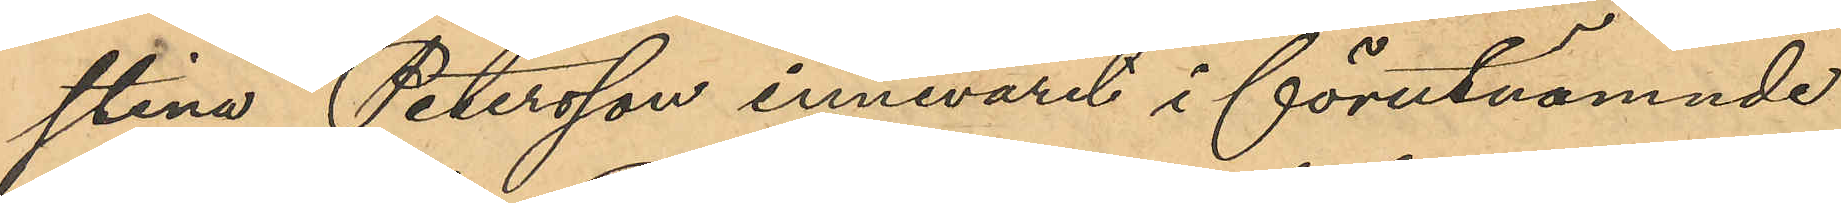stina Petersson innevarit i förutnämnde
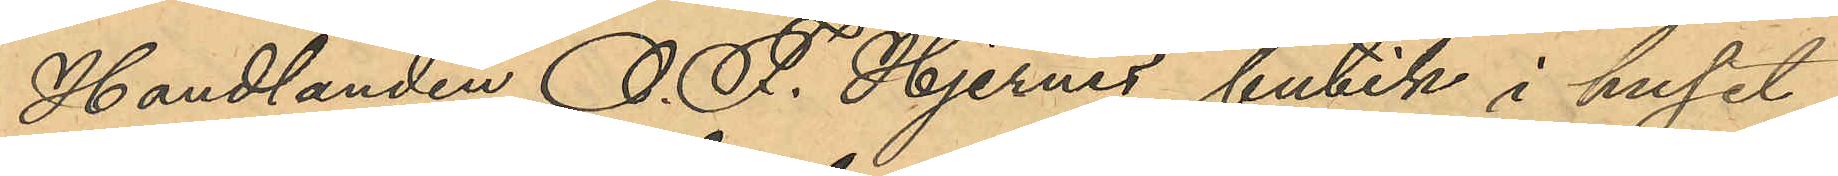Handlanden O. F. Hjernes butik i huset
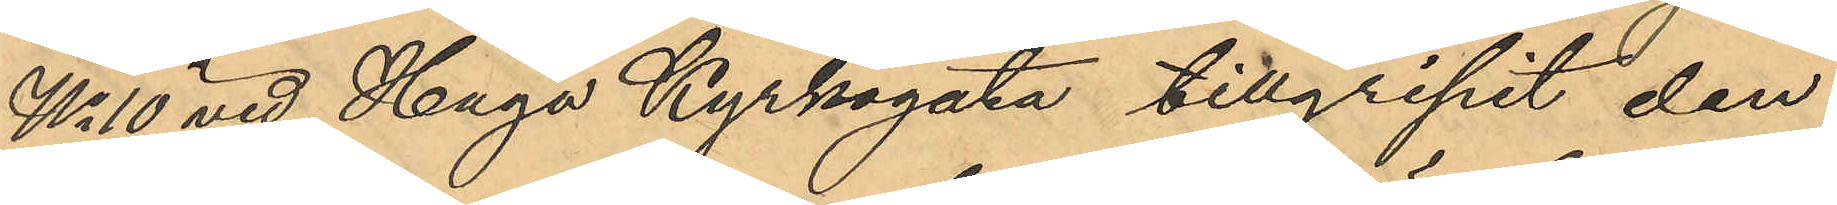No 10 vid Haga Kyrkogata tillgripit den
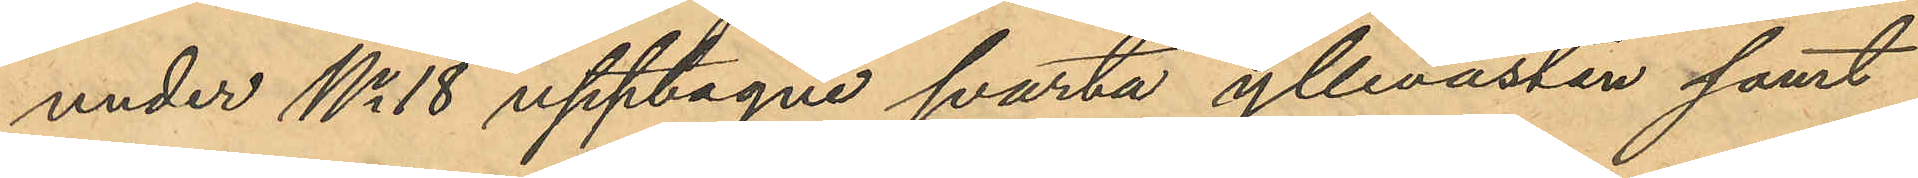under No 18 upptagne svarta yllevästen samt
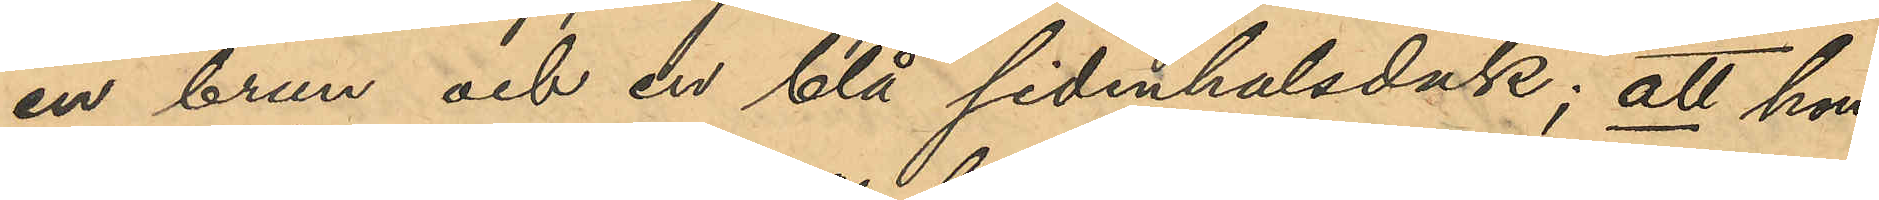en brun och en blå sidenhalsduk; att hon
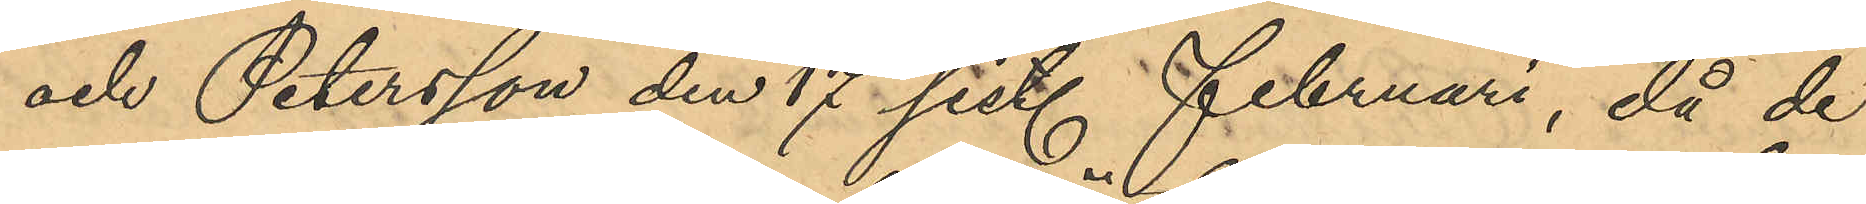och Petersson den 17 sist. Februari, då de
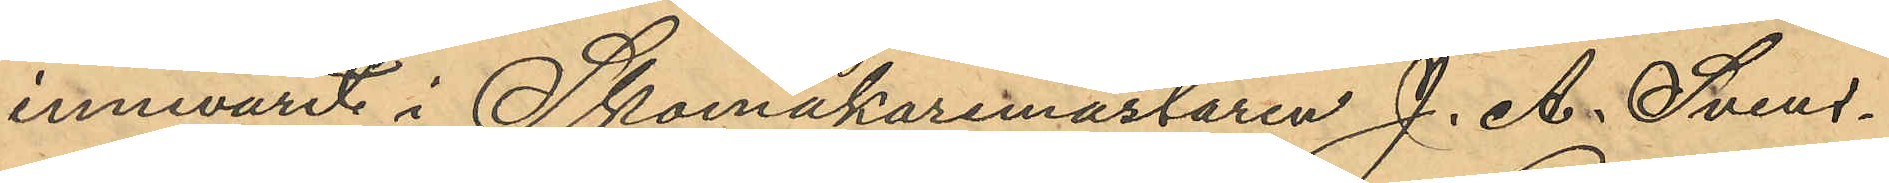innevarit i Skomakaremästaren J. A. Svens¬
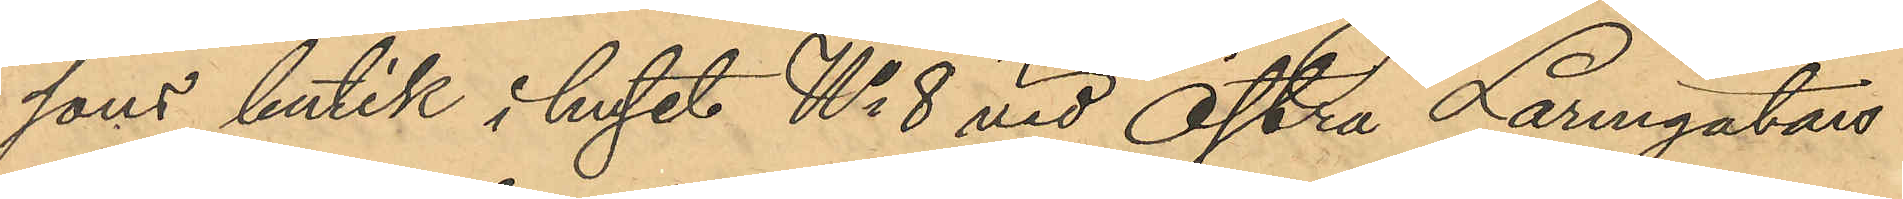sons butik i huset No 8 vid Östra Larmgatan
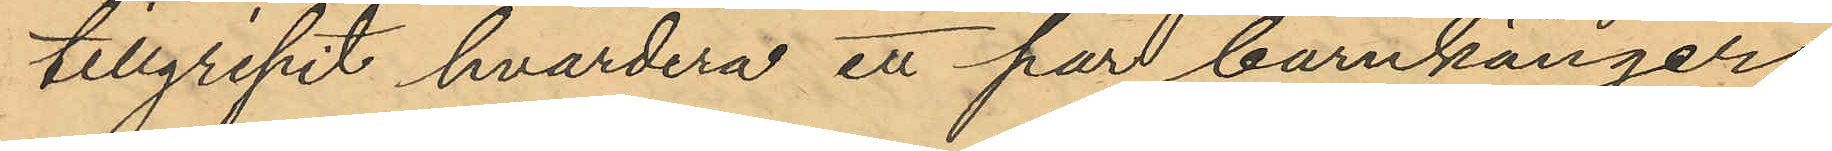tillgripit hvardera ett par barnkänger;
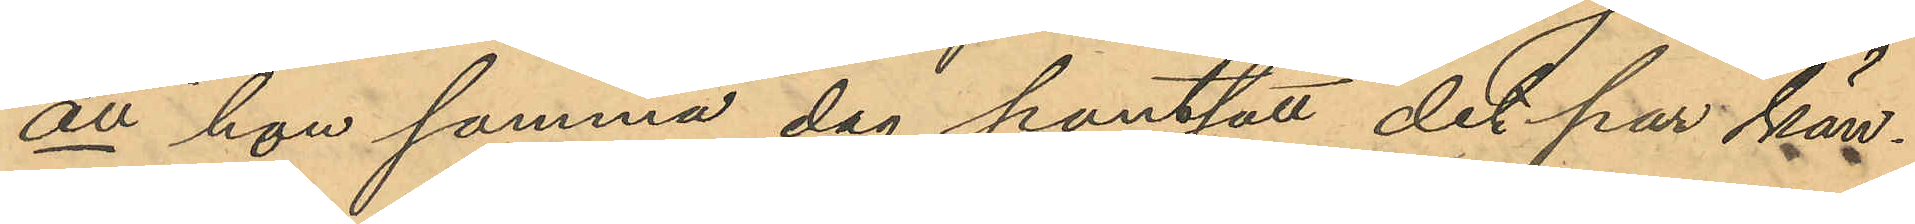att hon samma dag pantsatt det par kän¬
